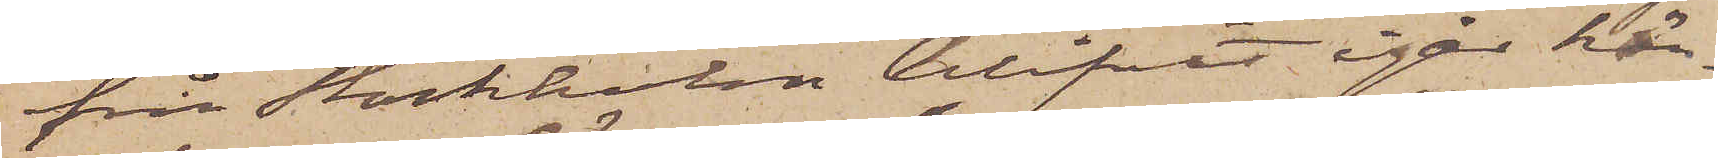från Stockholm blifvit igår här¬
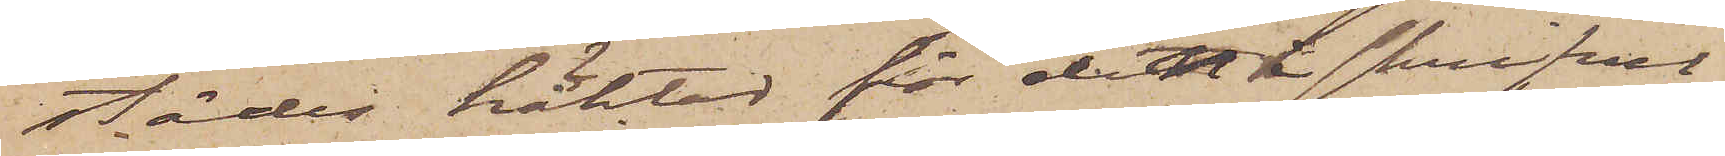städes häktad för den i skrifvel¬
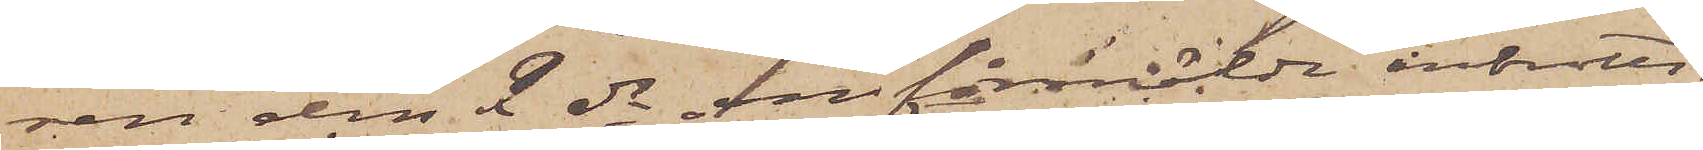sen den 2 ds omförmälde inbrotts¬
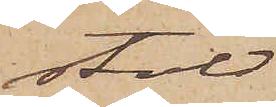stöld
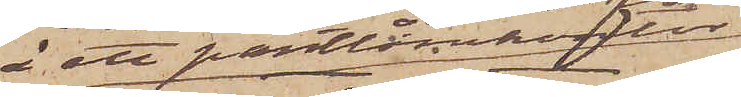å ett pantlånekontor
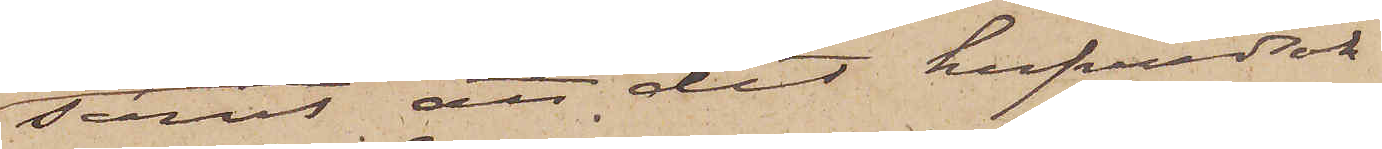samt att det hufvudsak¬
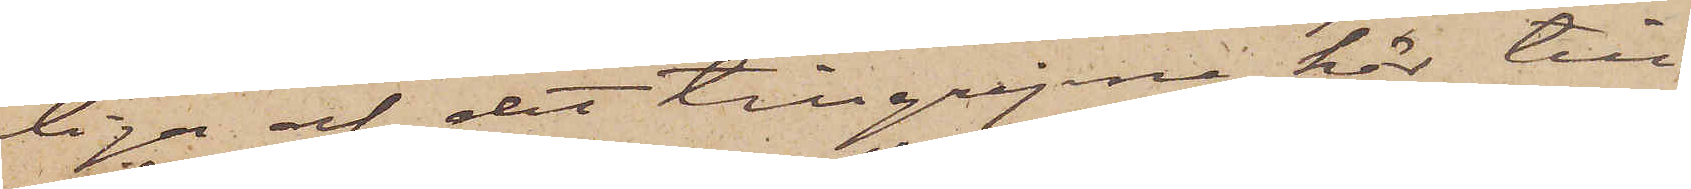liga af det tillgripne här till¬
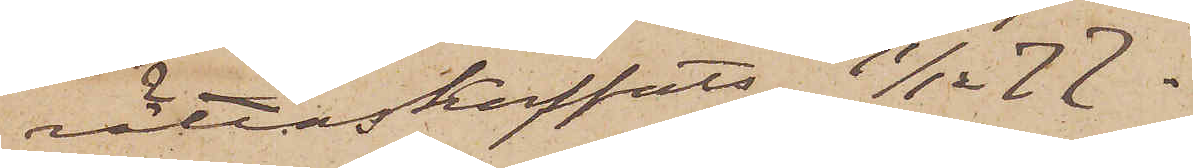rättaskaffats 11/12   77.
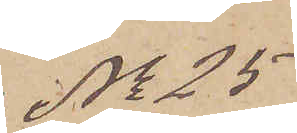No 25
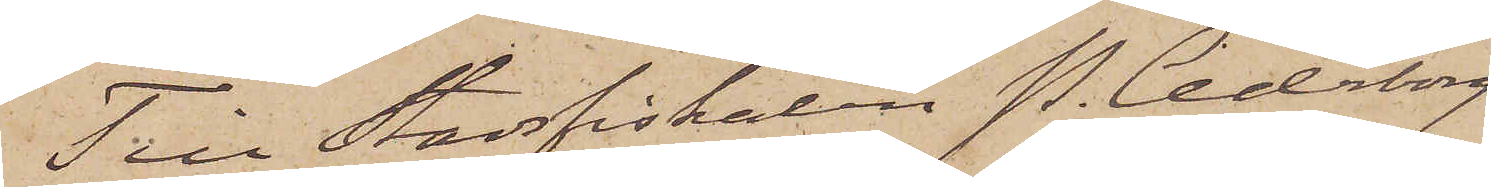Till Stadsfiskalen P. Cederborg
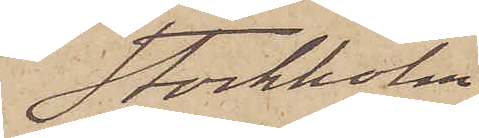Stockholm.
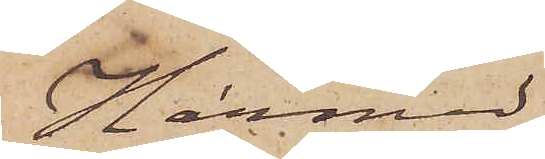Härmed
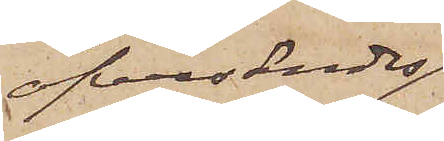öfversändes
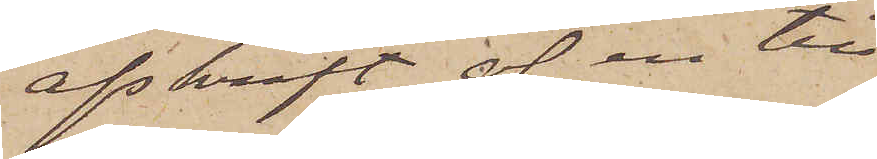afskrift af en till
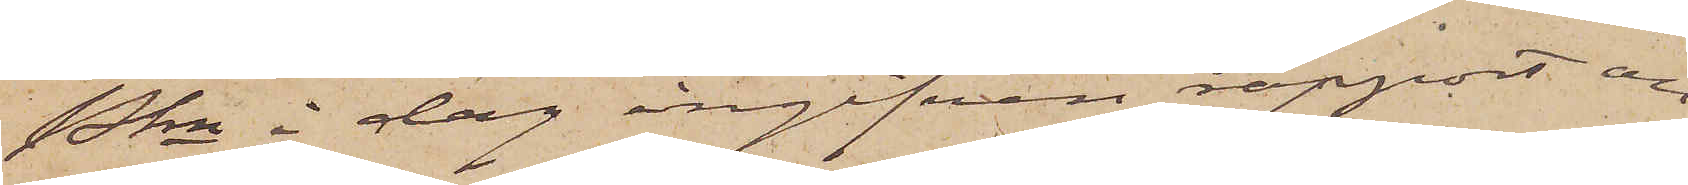Pkn i dag ingifven rapport an¬
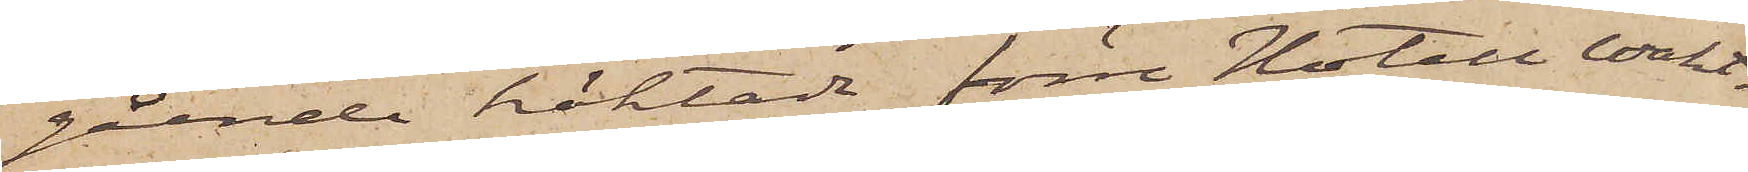gående häktade förre Hotell wakt¬
